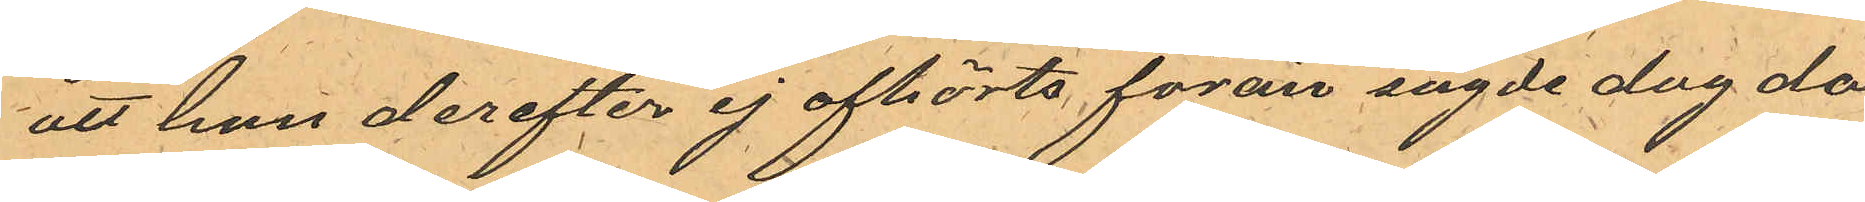att hon derefter ej afhörts förän sagde dag då
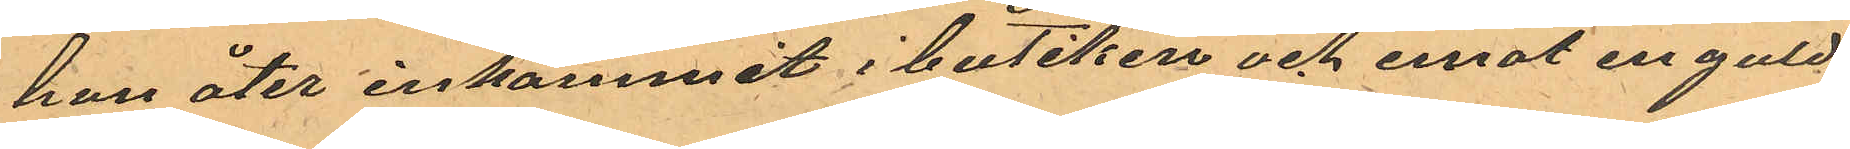hon åter inkommit i butiken och emot en guld¬
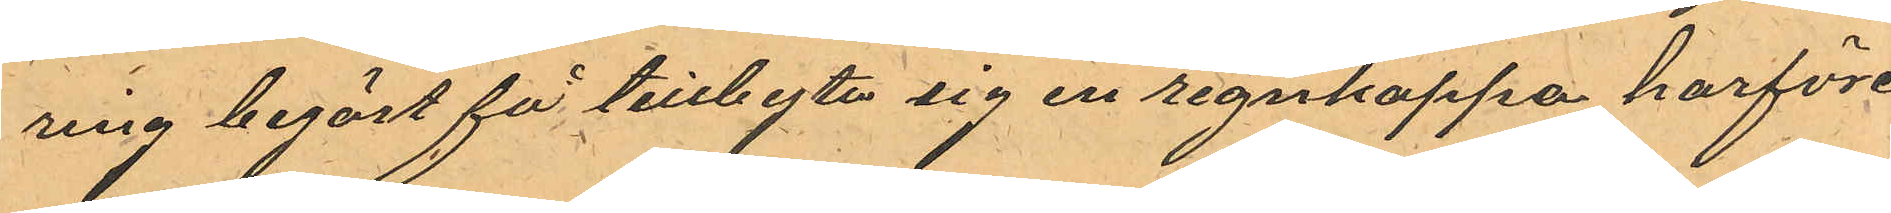ring begärt få tillbyta sig en regnkappa harföre
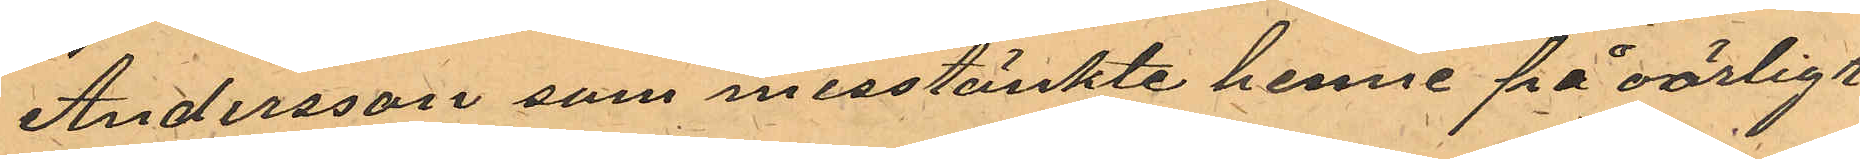Andersson som misstänkte henne på oärligt
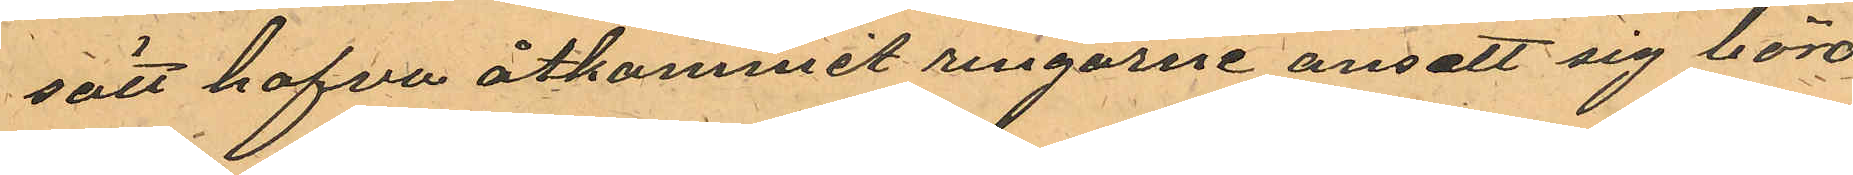sätt hafva åtkommit ringarne ansett sig böra
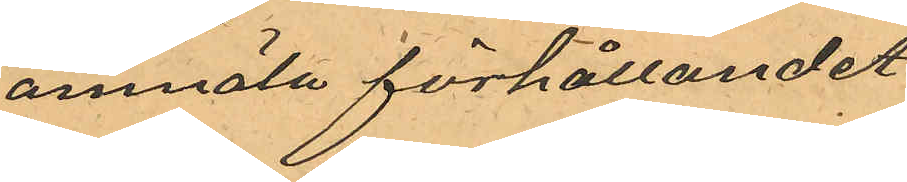anmäla förhållandet.
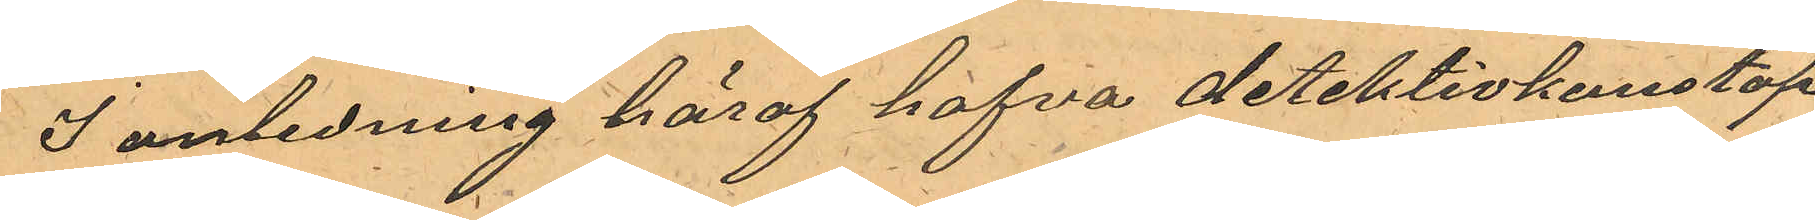I anledning häraf hafva detektivkonstap¬
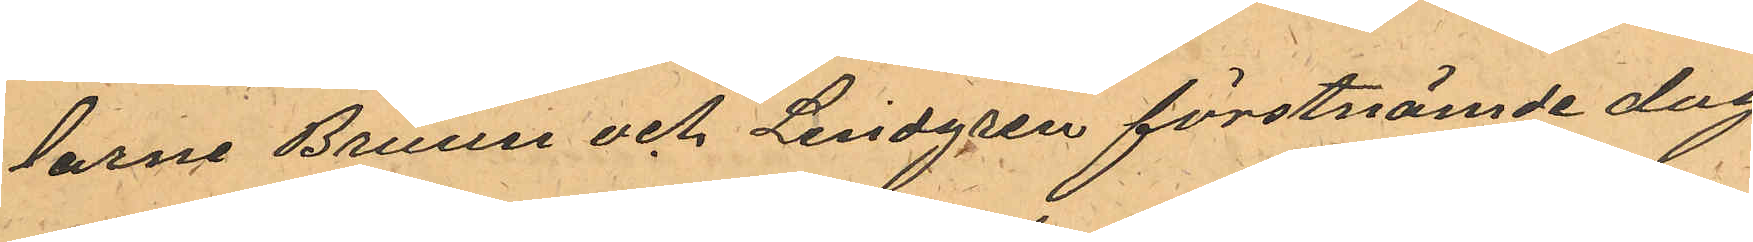larne Bruun och Lindgren förstnämde dag
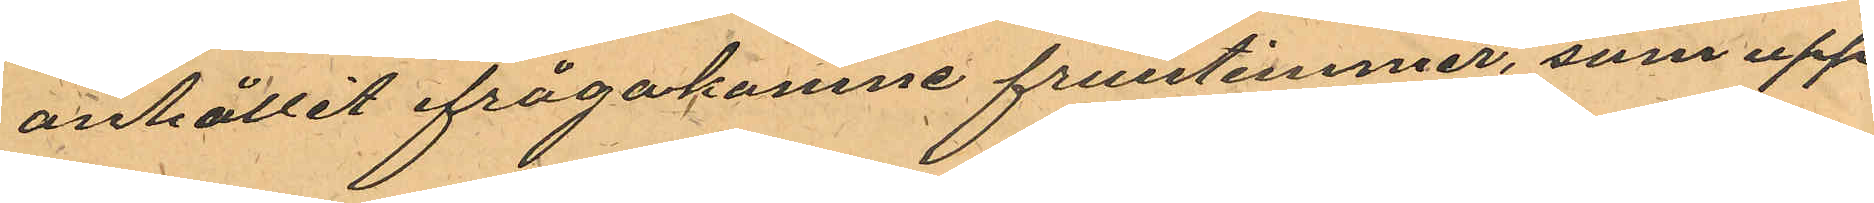anhållit ifrågakomne fruntimmer, som upp¬
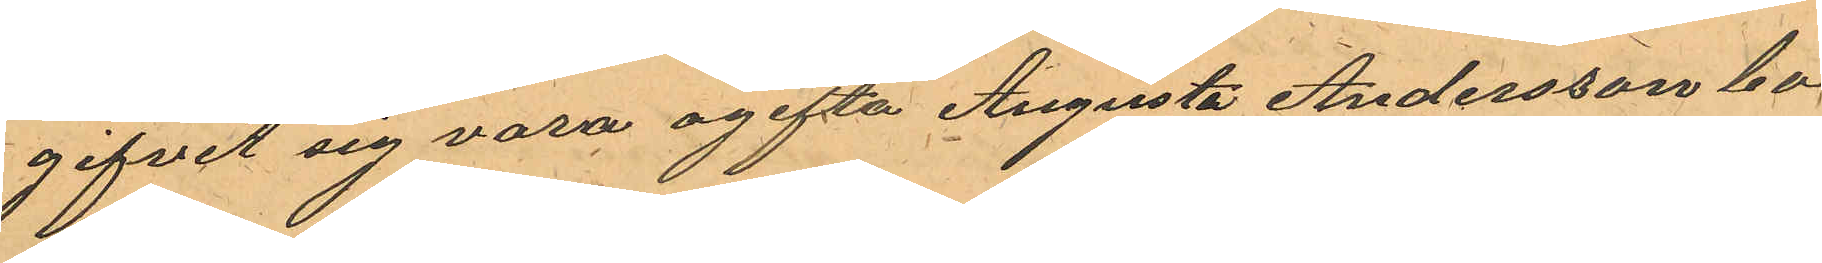gifvit sig vara ogifta Augusta Andersson bo¬
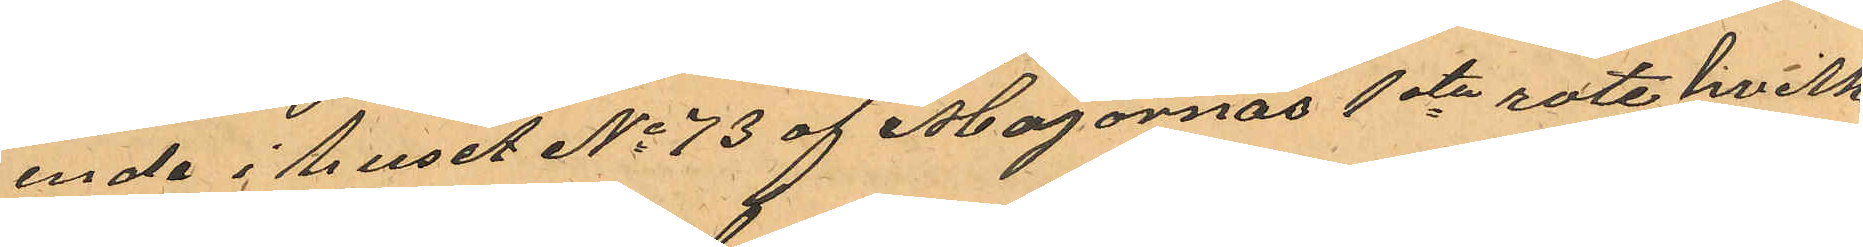ende i huset No 73 af Majornas 1sta rote hvilken
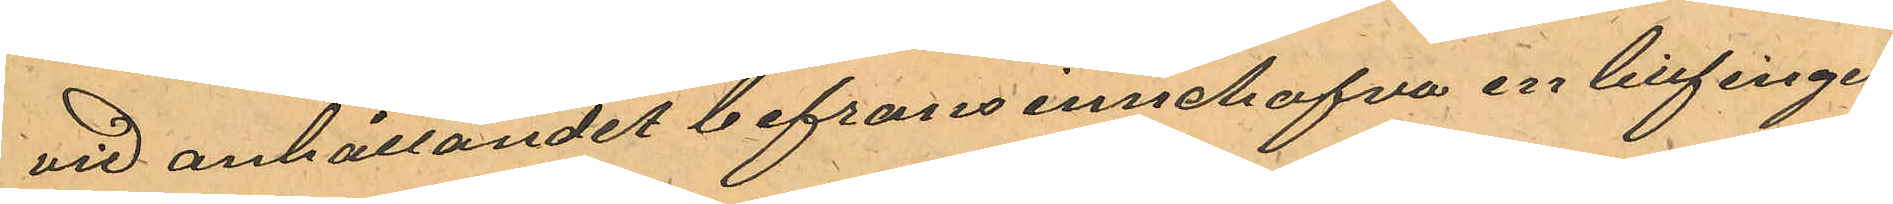vid anhållandet befrans innehafva en lillfingers¬
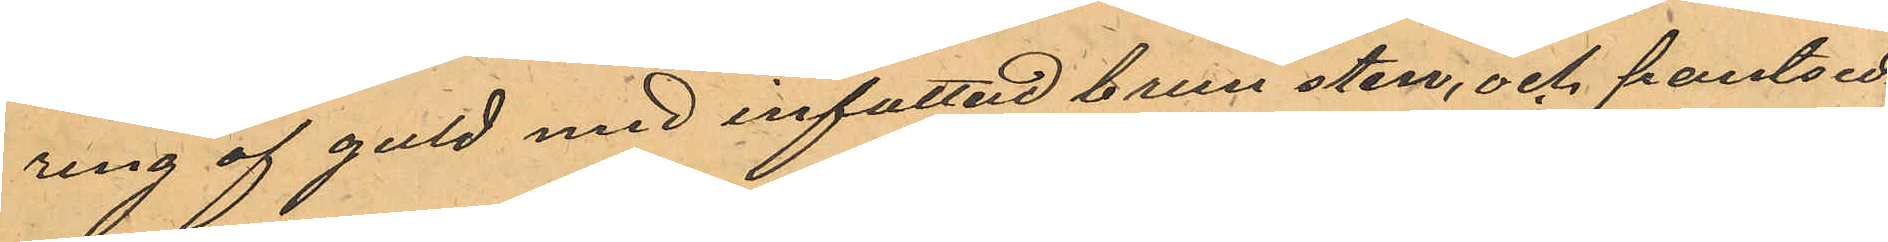ring af guld med infattad brun sten, och pantsed¬
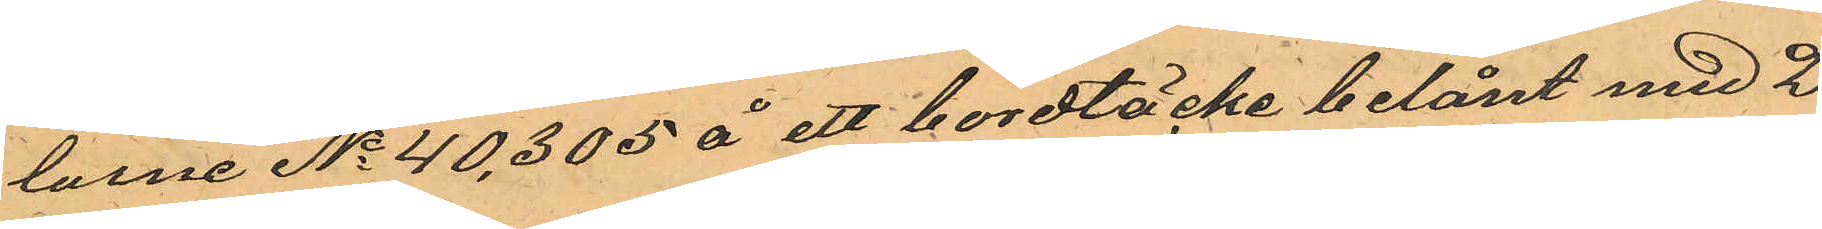larne No 40,305 å ett bordtäcke belånt med 2
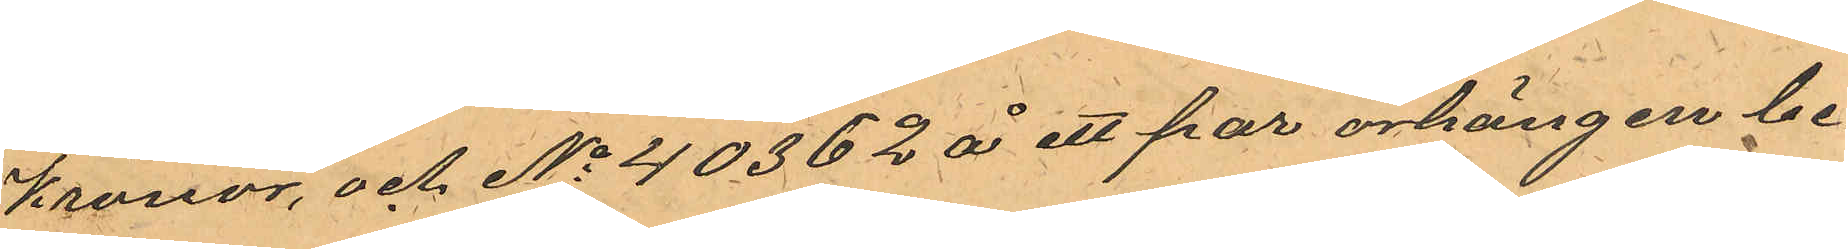Kronor och No 40362 å ett par örhängen be¬
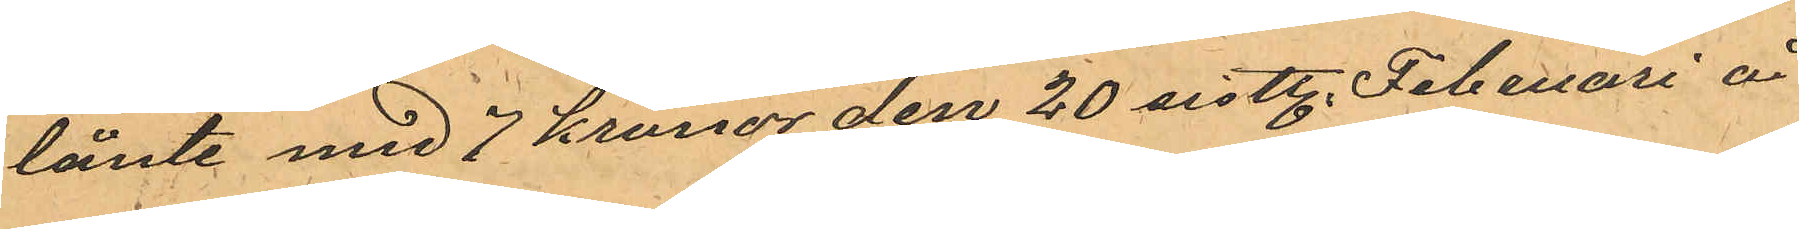lånte med 7 kronor den 20 sistl. Februari å
